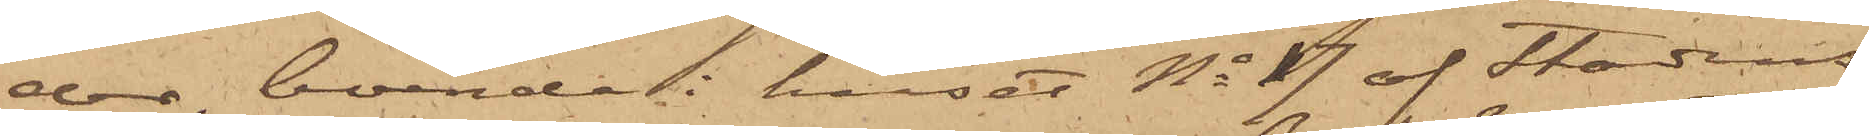der, boende i huset No 17 af Stadens
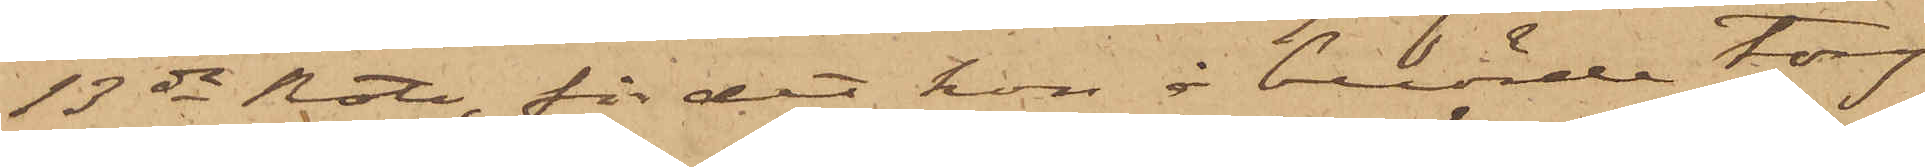13de Rote, för det hon å berörde torg
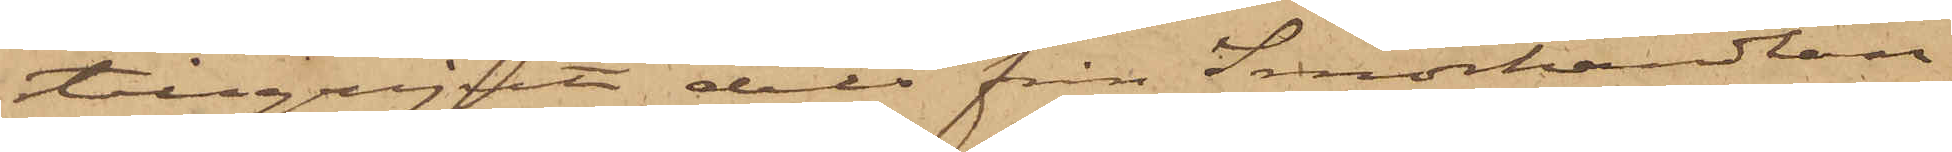tillgripit dels från Smörhandlan¬
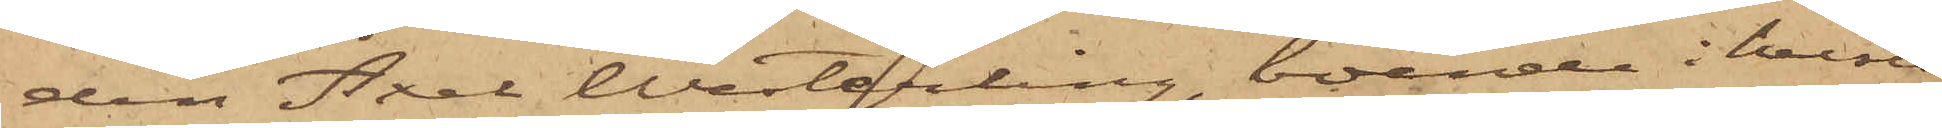den Axel Westerling, boende i huset
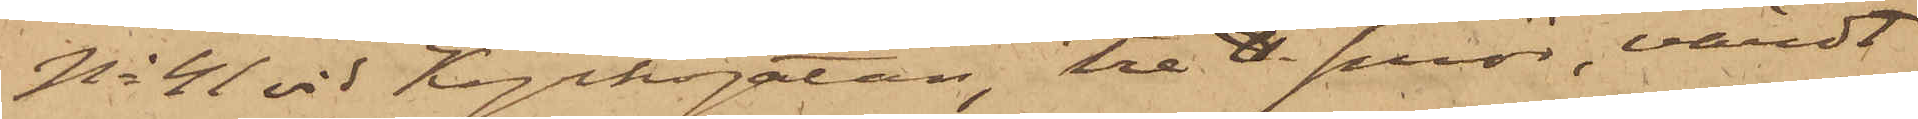No 41 vid Kyrkogatan, tre ℔. smör, värdt
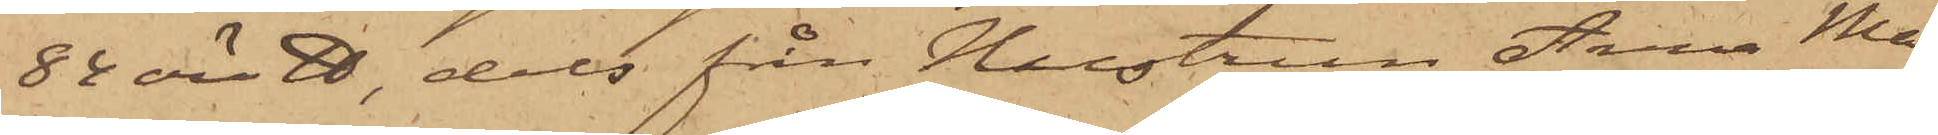82 öre ℔, dels från Hustrun Anna Ma¬
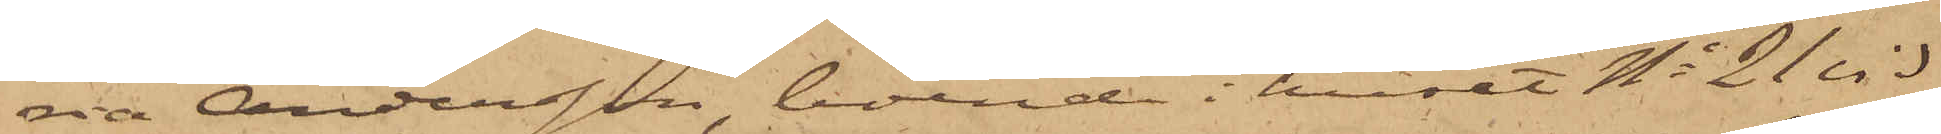ria Andersson, boende i huset No 21 vid
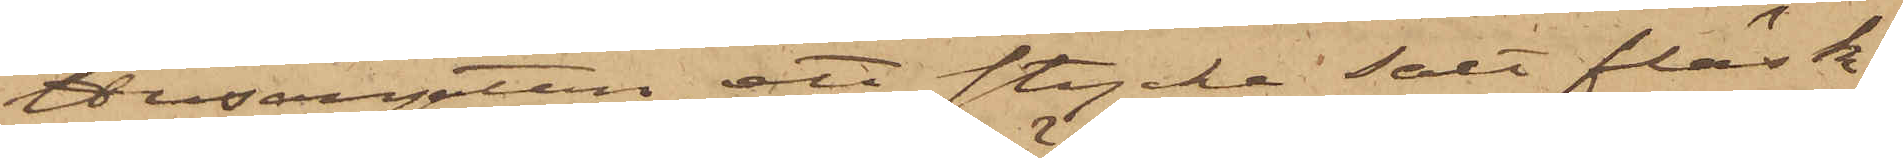Husargatan, ett stycke salt fläsk
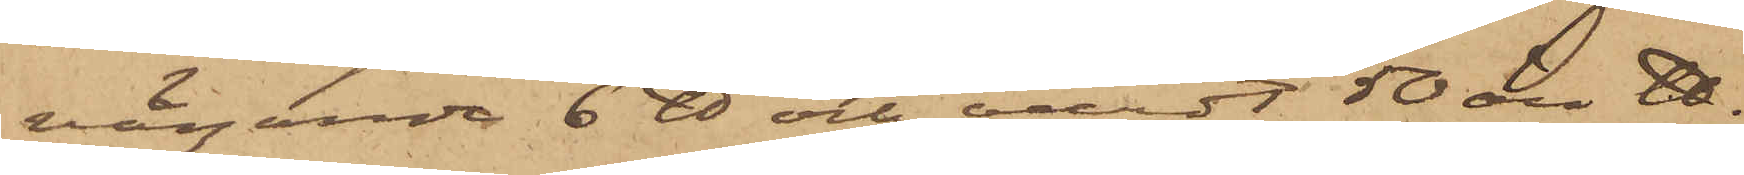vägande 6 ℔ och värdt 50 öre ℔.
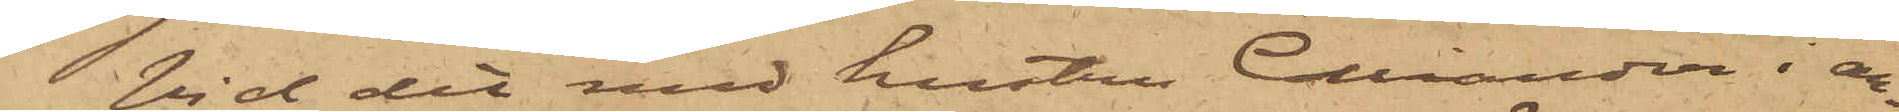Vid det med hustru Colliander i an¬
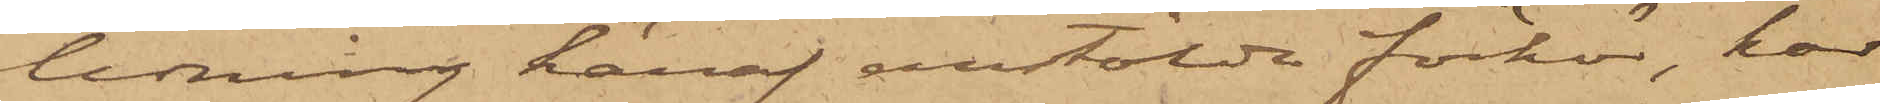ledning häraf anstälda förhör, har
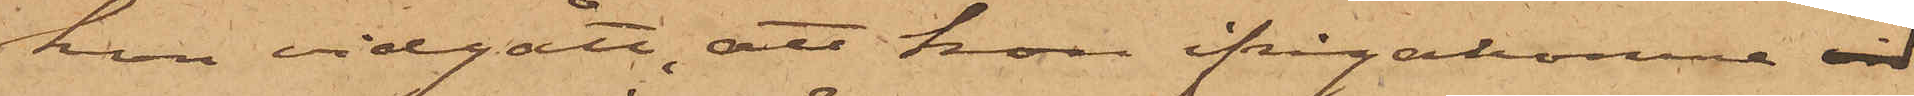hon vidgått, att hon ifrågakomne vid
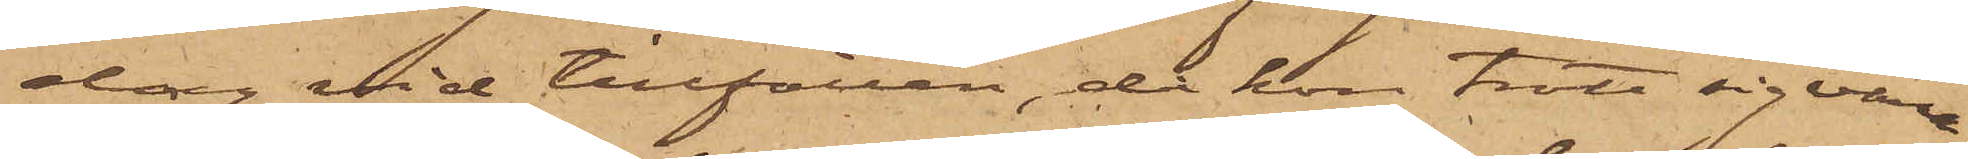dag vid tillfällen, då hon trott sig vara
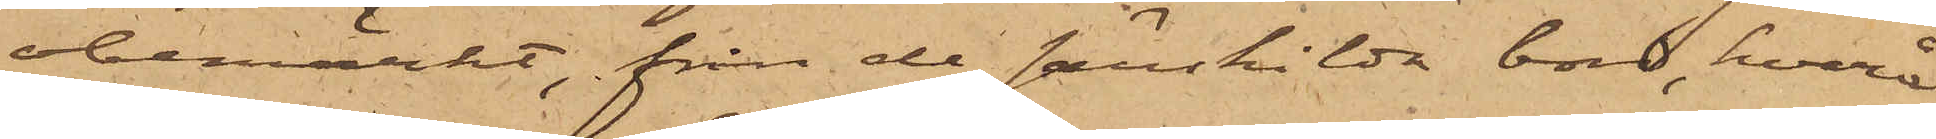obemärkt, från de särskilda bord, hvarå
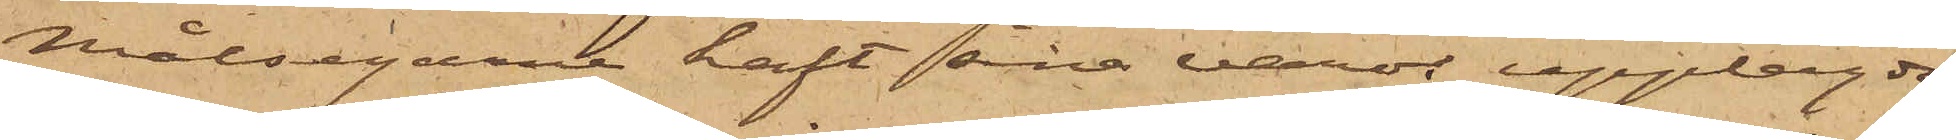målsegarne haft sina varor upplagde
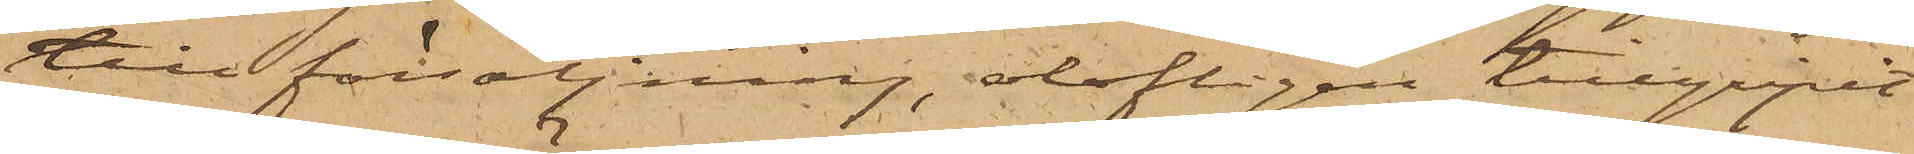till försäljning, olofligen tillgripit
